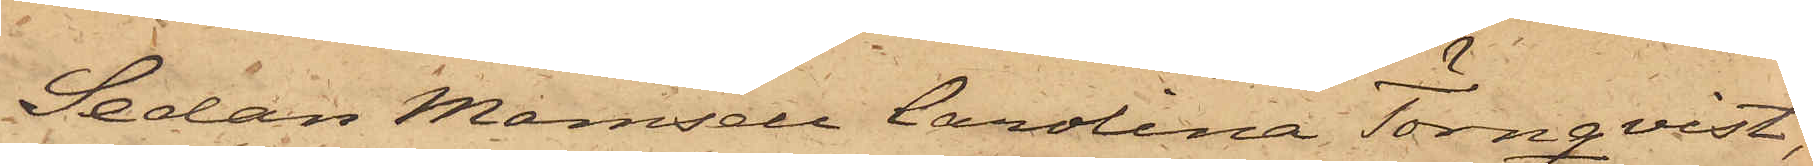Sedan Mamsell Carolina Törnqvist,
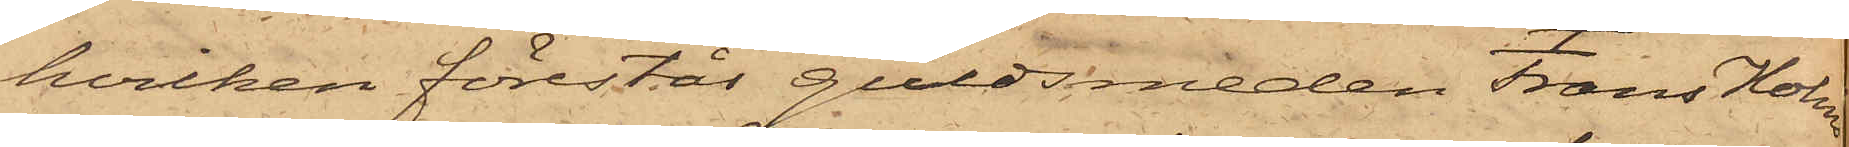hvilken förestår guldsmeden Frans Holms
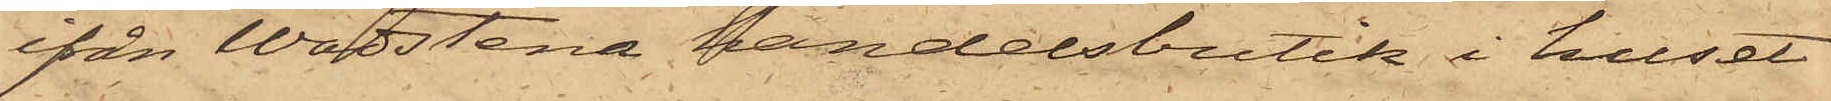ifrån Wadstena handelsbutik i huset
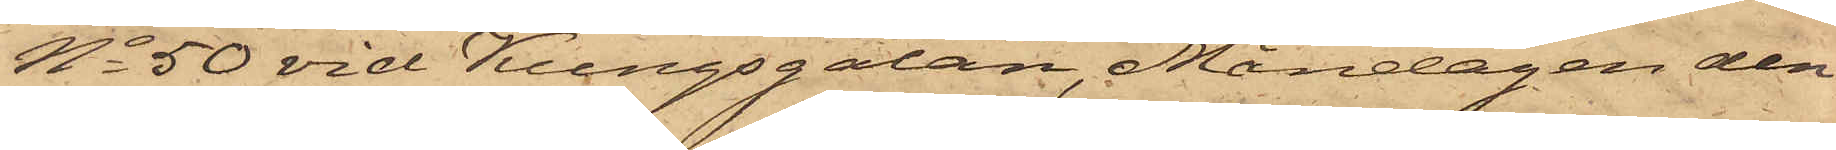No 50 vid Kungsgatan, Måndagen den
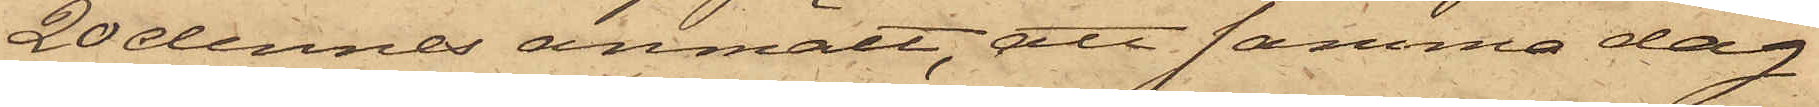20 dennes anmält, att samma dag
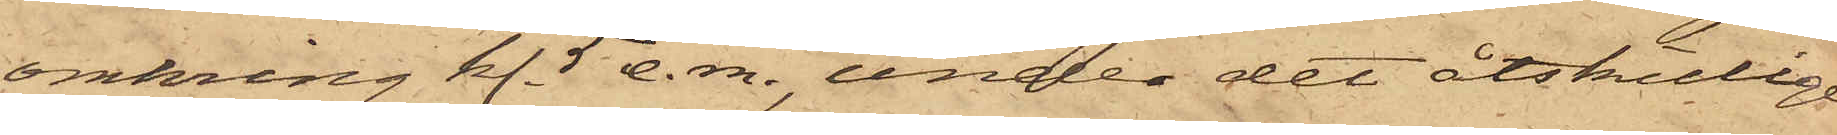omkring kl. 5 e. m., under det åtskillige
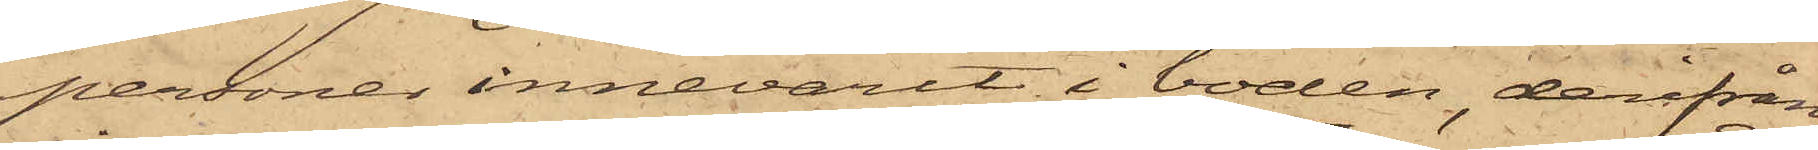personer innevarit i boden, derifrån
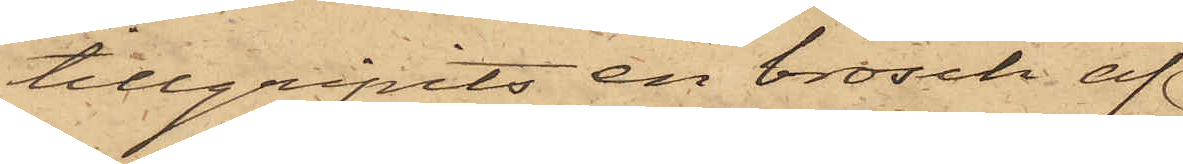tillgripits en brosch af
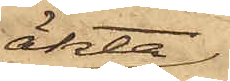äkta
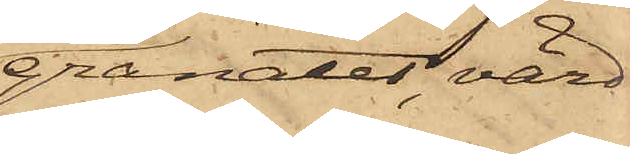granater, värd
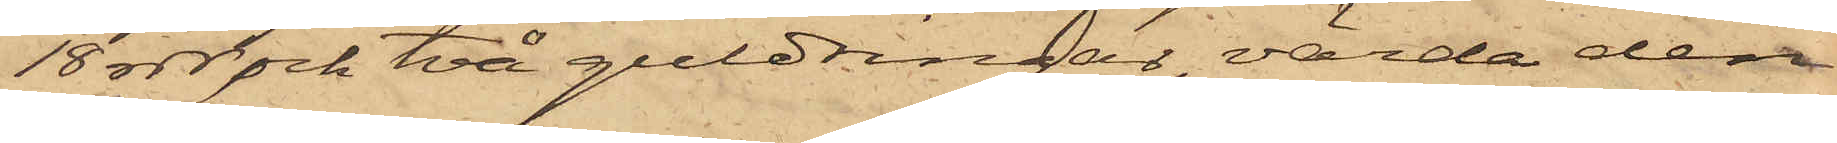18 rdr, och två guldringar, värda den
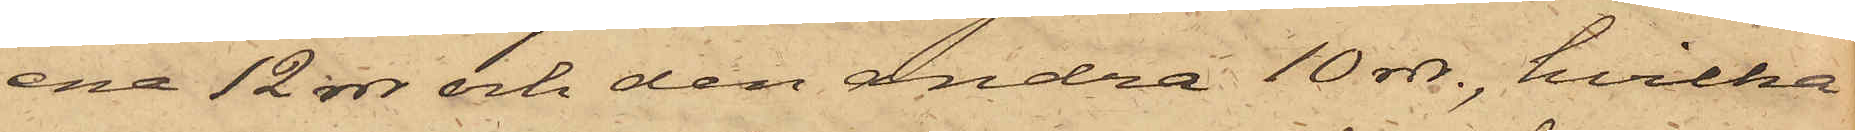ena 12 rdr och den andra 10 rdr., hvilka
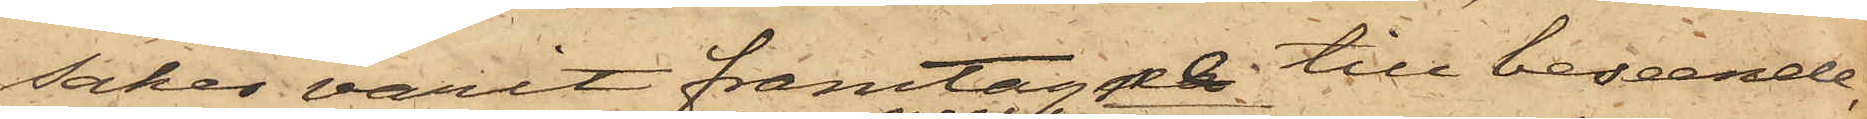saker varit framtagne till beseende,
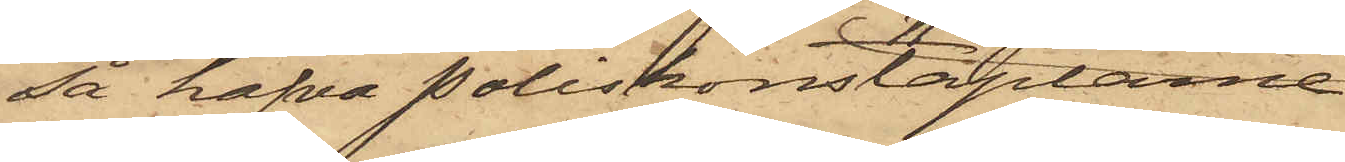så hafva Poliskonstaplarne
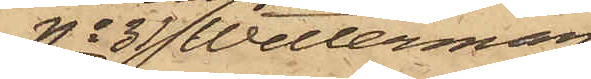No 31 Wetterman
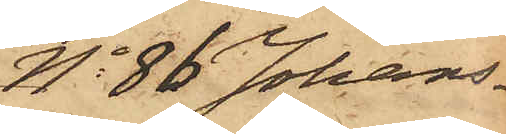No 86 Johans¬
